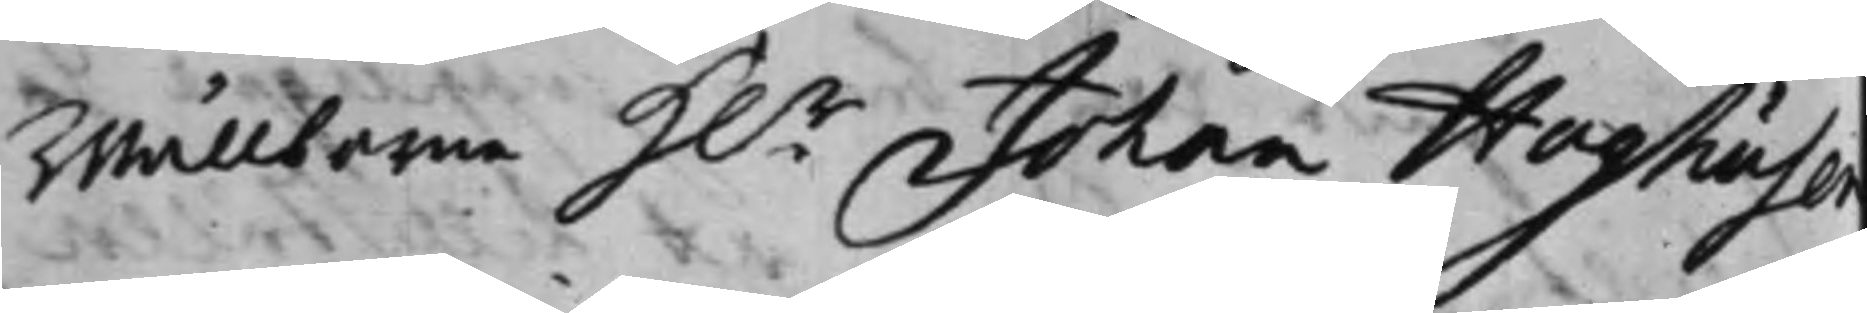Wällborne H.r Johan Hoghuse
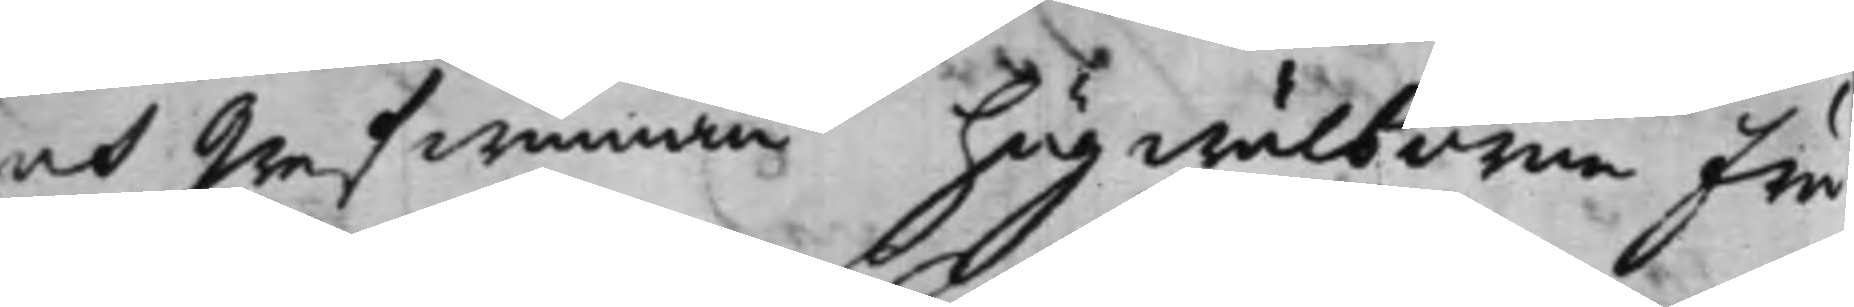och Grefwinnan högwälborna Fru
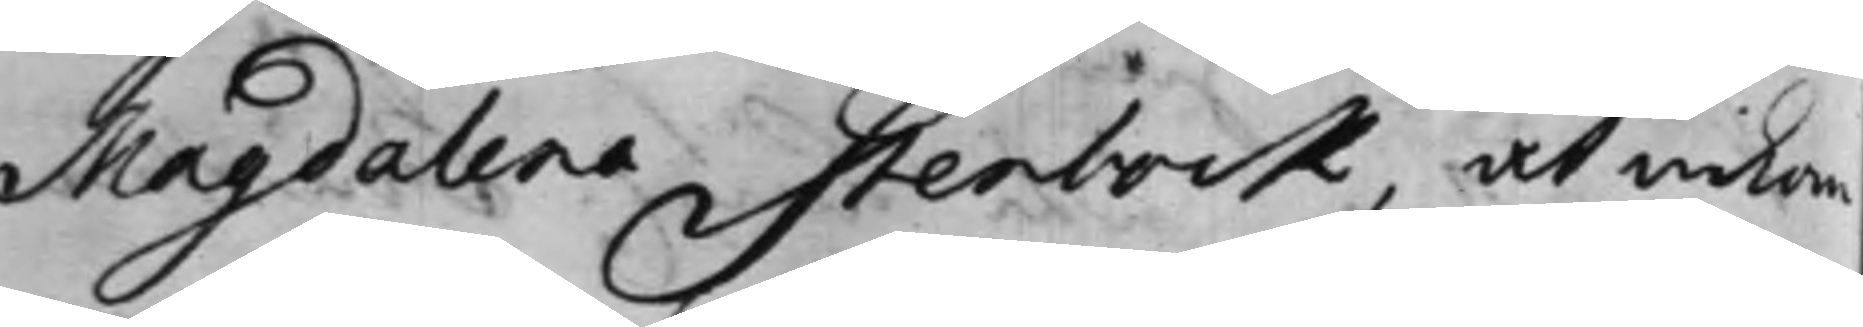Magdalena Stenbock, at inkom¬
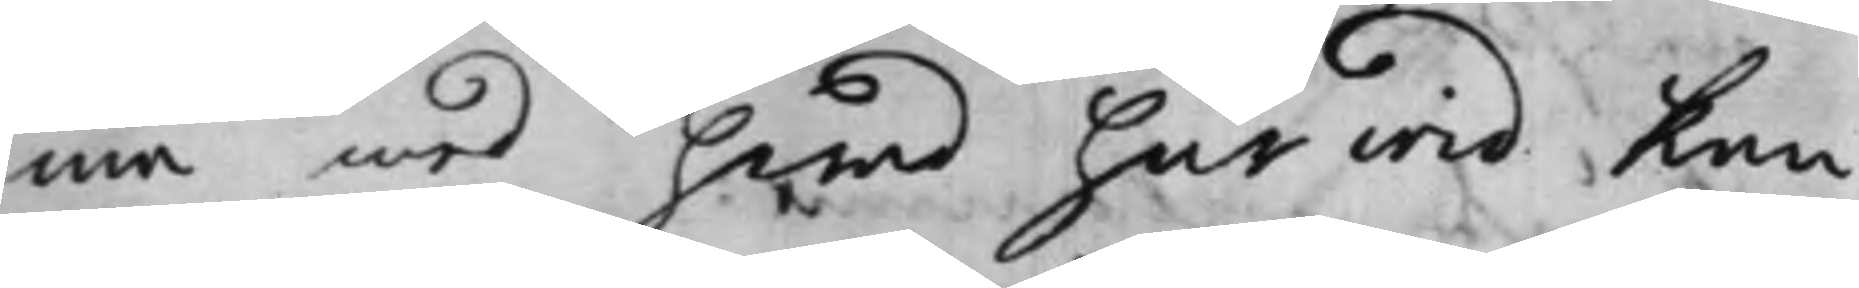ma med hwad här wid kan
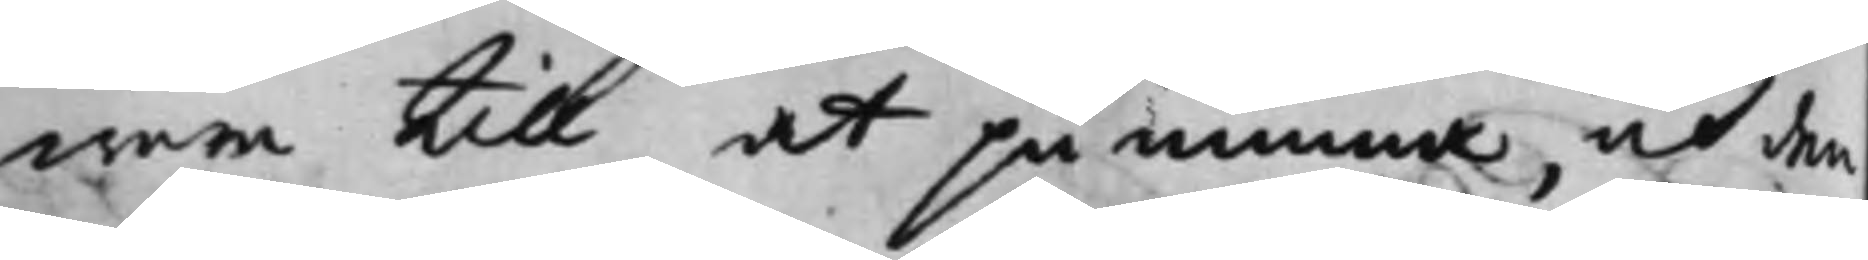wara till at påminna, och den
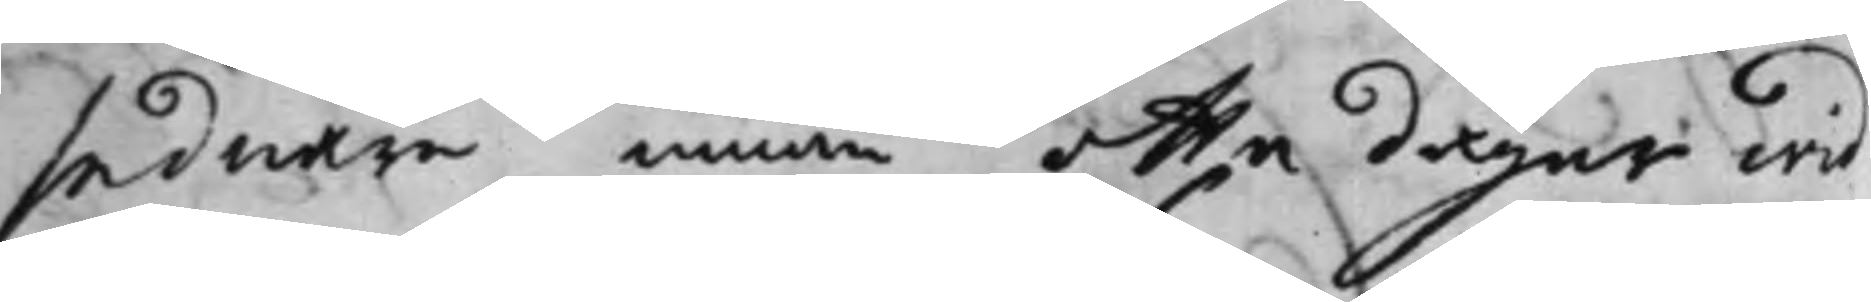sednare innan otta dagar wid
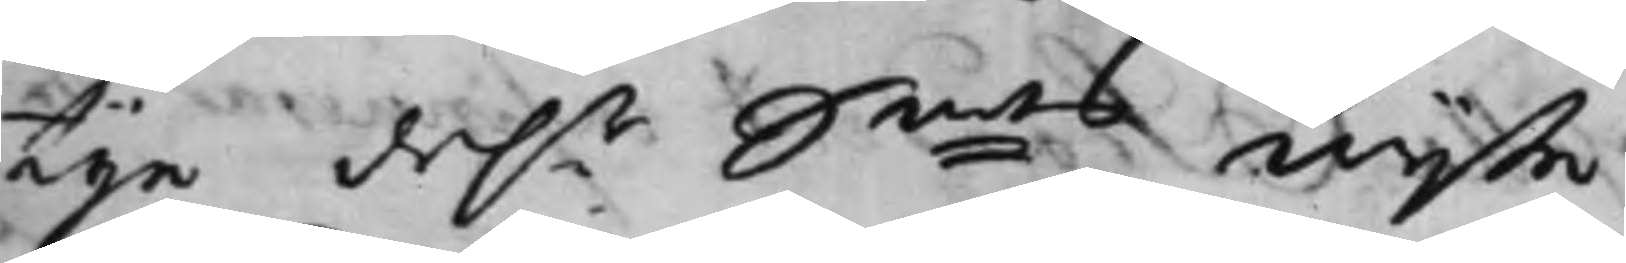tije dah.r S:mts wijte.
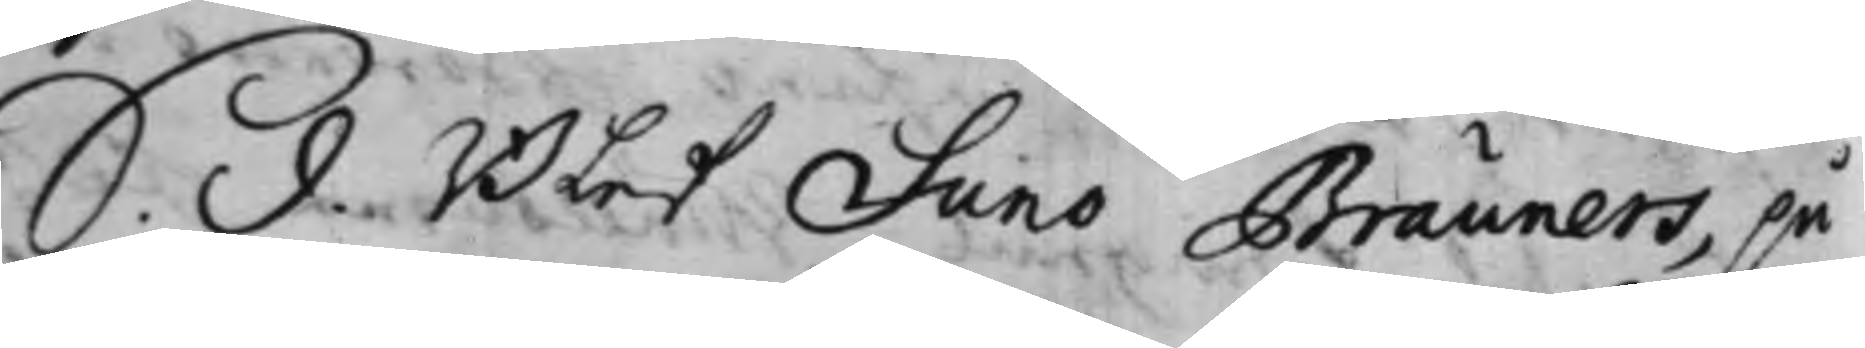S. d. Blef Suno Brauners, på
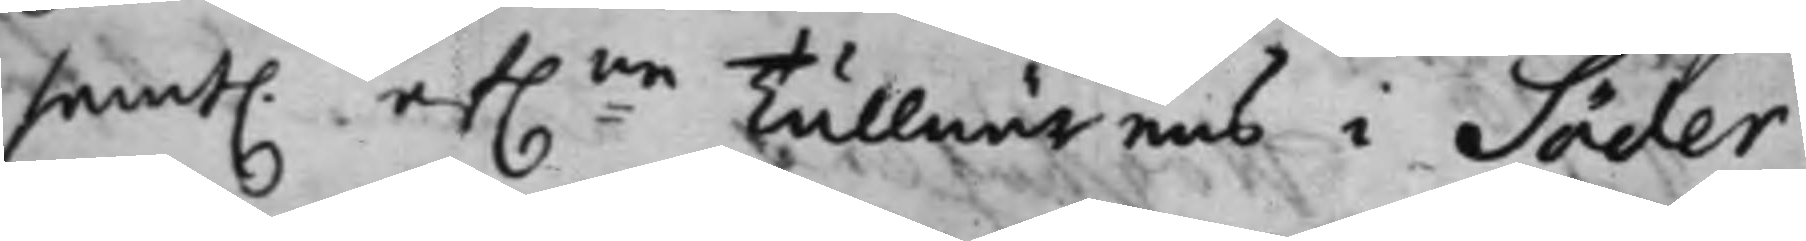samt. af:ne Tullnärems i Söder¬
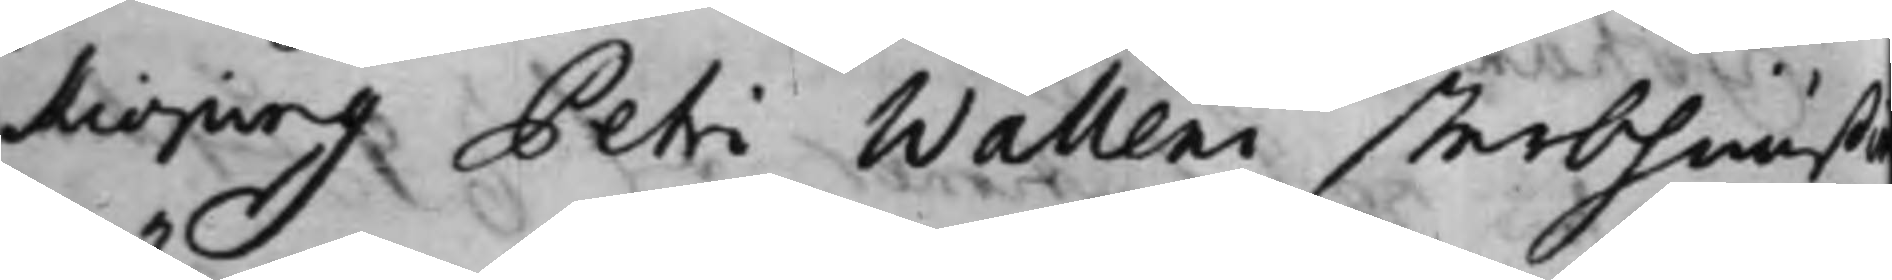kioping Petri Walleni sterbhuußi
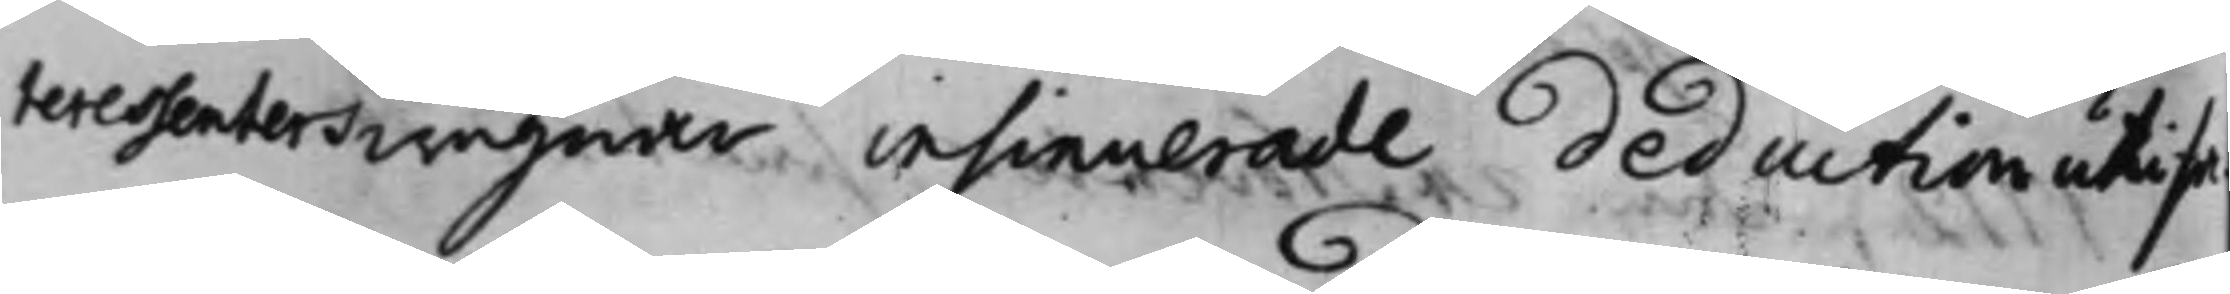teressenters wägnar insinuerade deduction uti sa¬
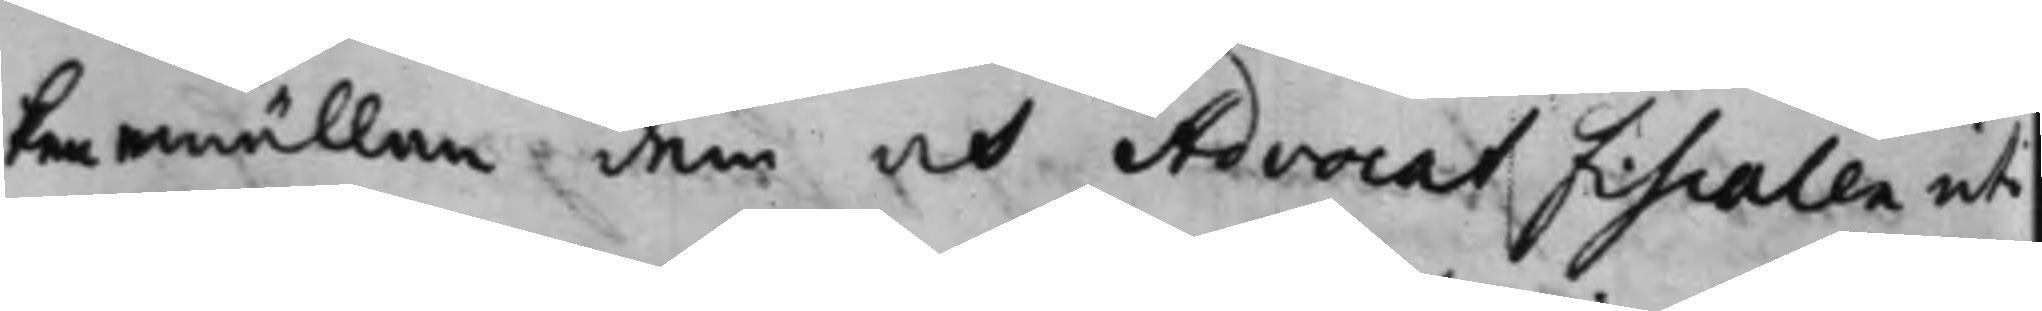ken emällan dem och Advocat Fiscalen uti
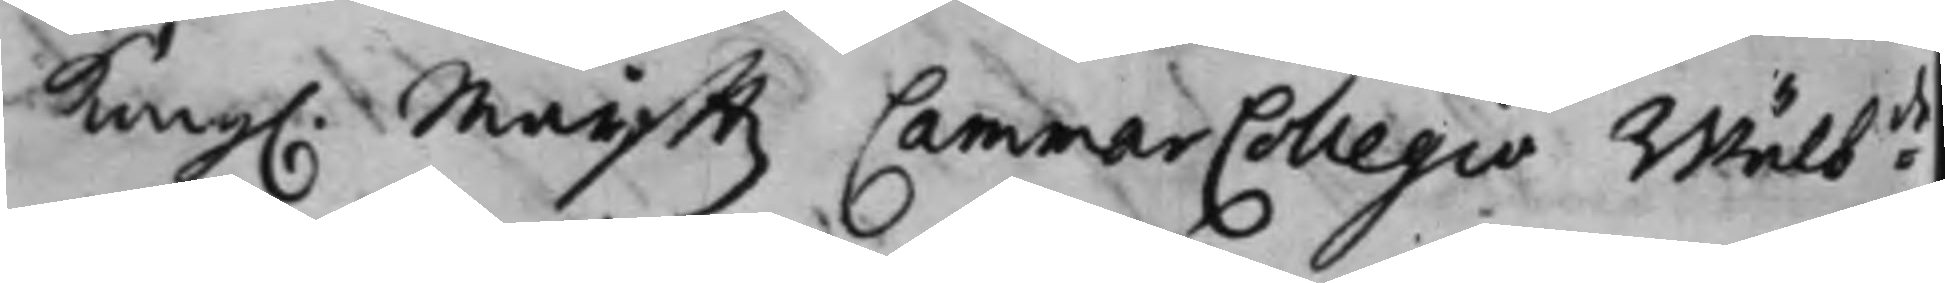Kong. Maijttz CammarCollegio Wälb:de
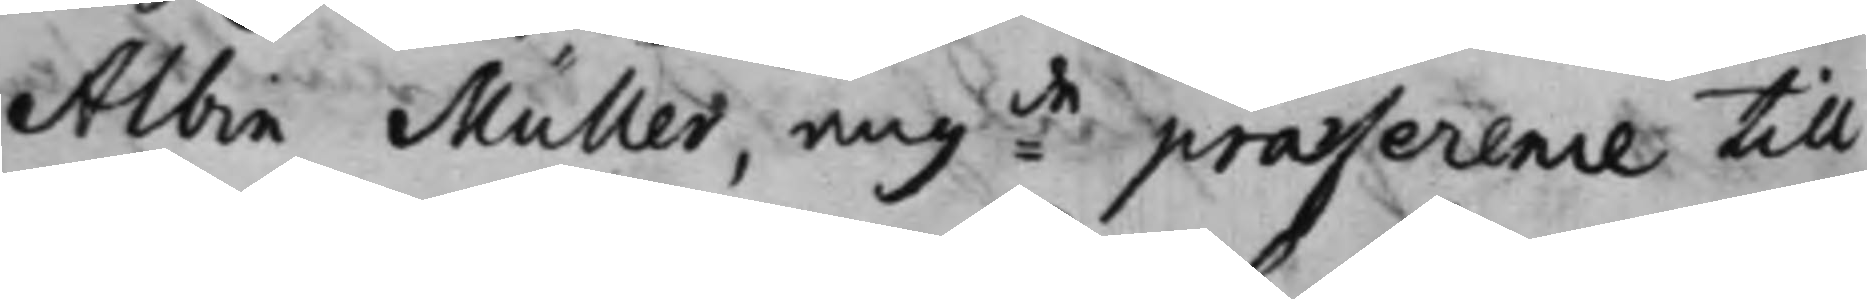Albin Müller, ang:de praeference till
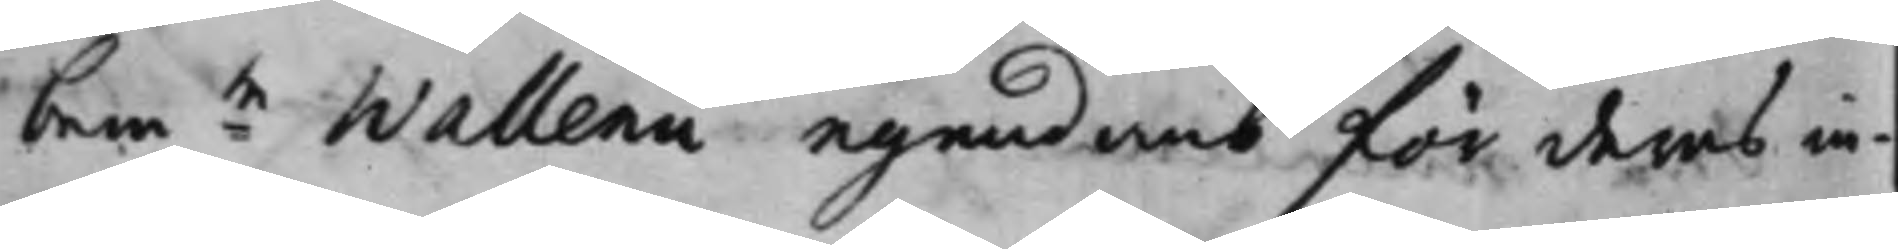bem:te Wallenii egendomb för deras in¬
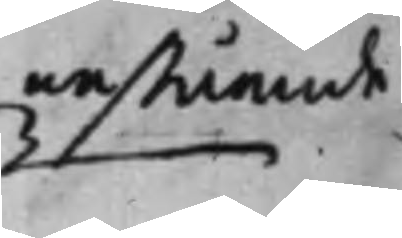nestående
